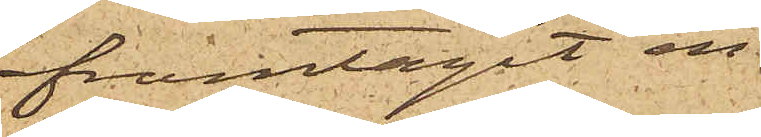framtagit en
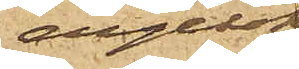dylik
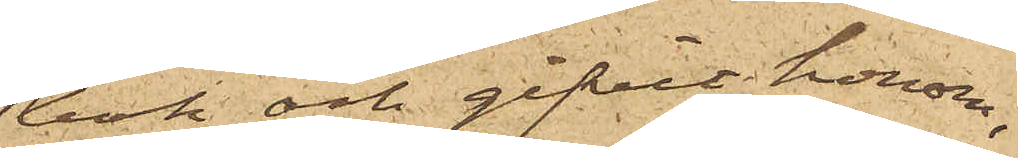bok och gifvit honom,
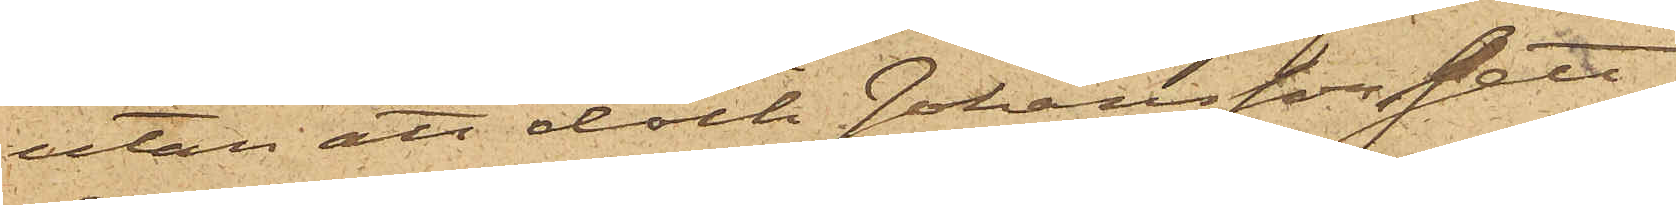utan att dock Johansson sett,
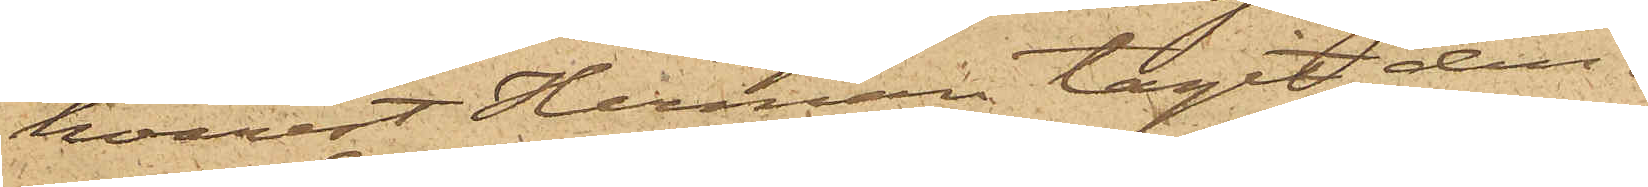hvarest Herman tagit den.
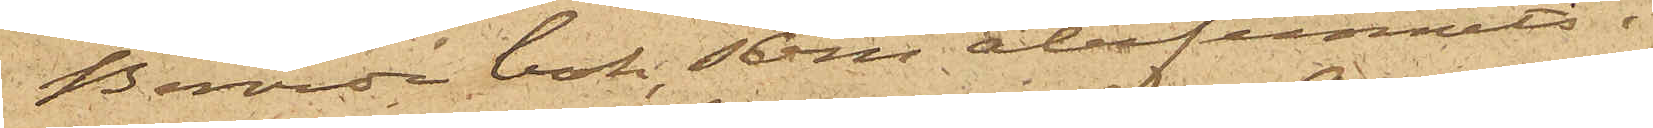Berörde bok, som återfunnits i
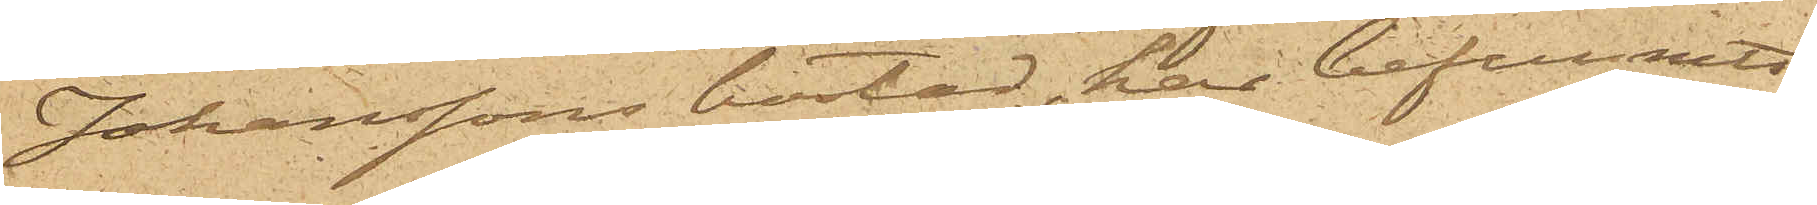Johanssons bostad, har befunnits
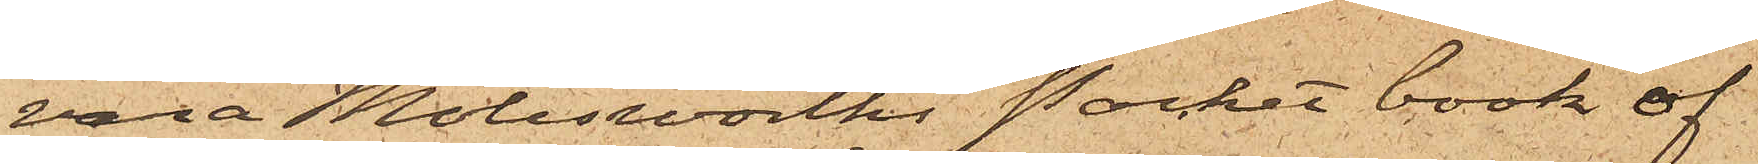vara Molesworths Pocket book of
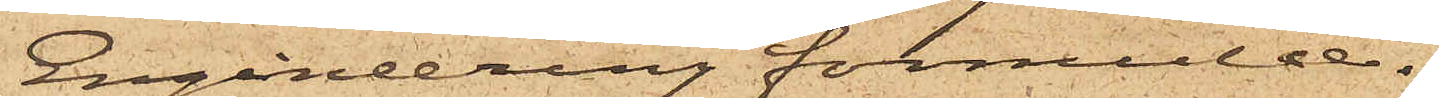Engineering formulæ.
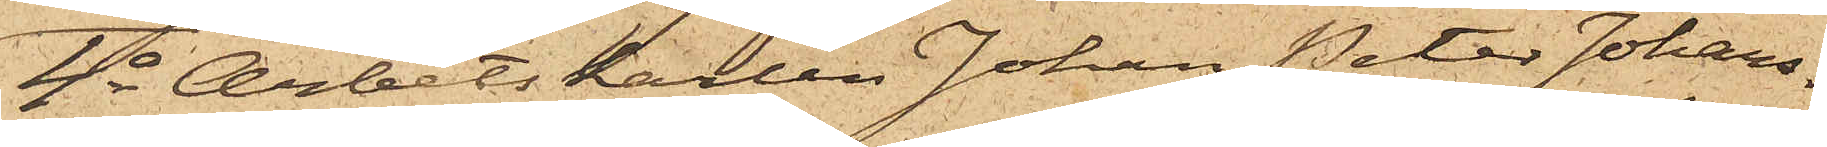4o Arbetskarlen Johan Peter Johans¬
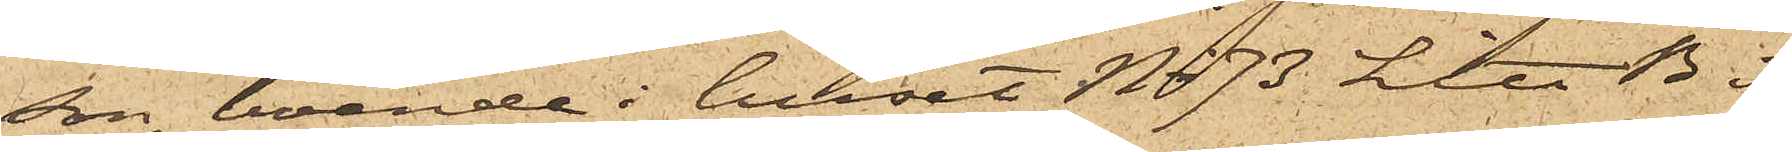son, boende i huset No 73 Litt B. i
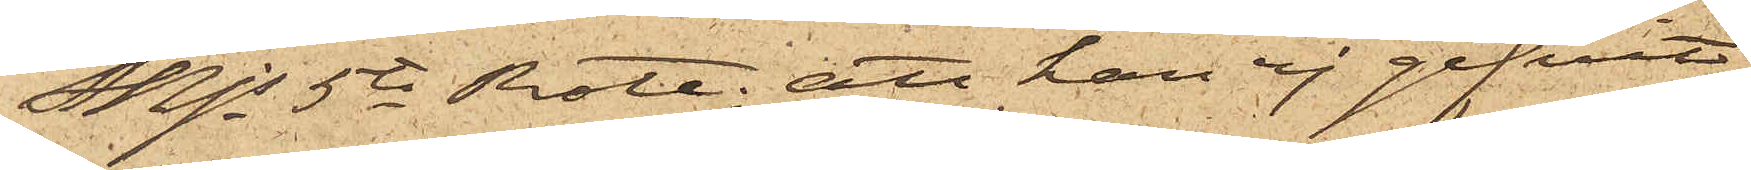Mjs 5te Rote; att han ej gifvit
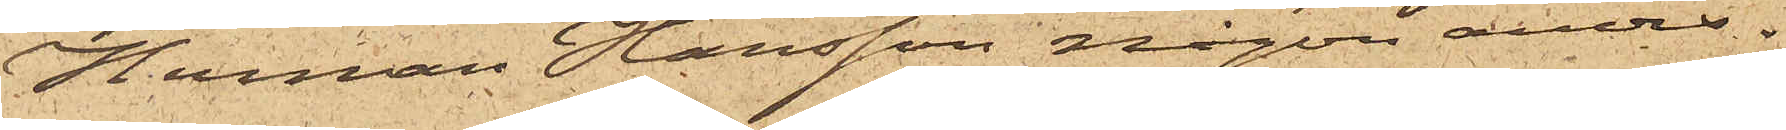Herman Hansson någon anvis¬
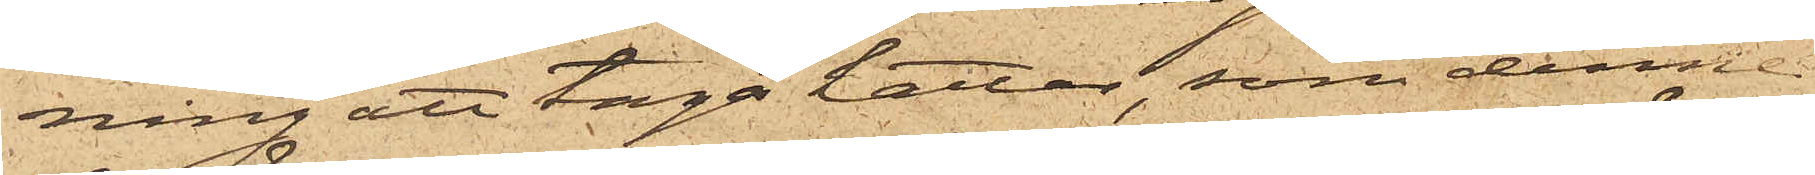ning att taga hattar, som denne
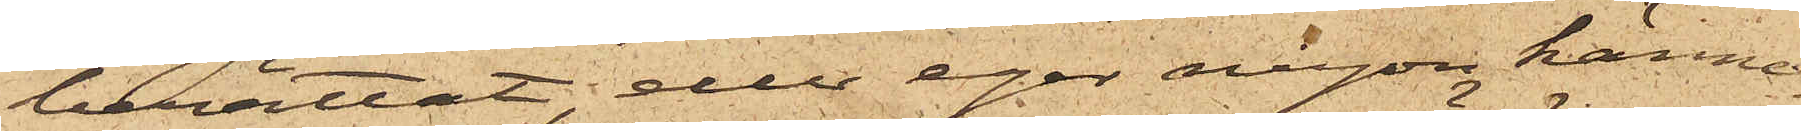berättat, eller eger någon känne¬
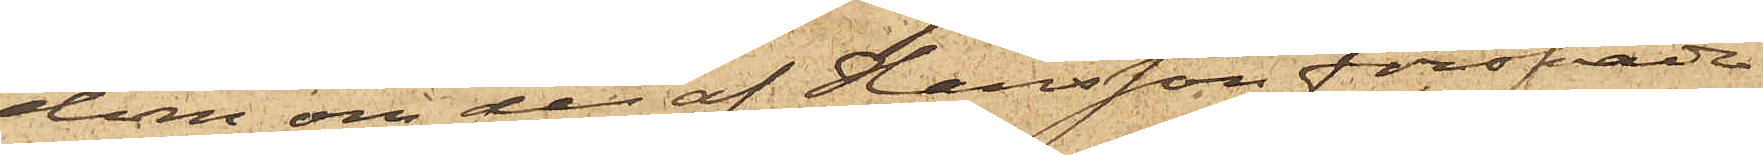dom om de af Hansson föröfvade
